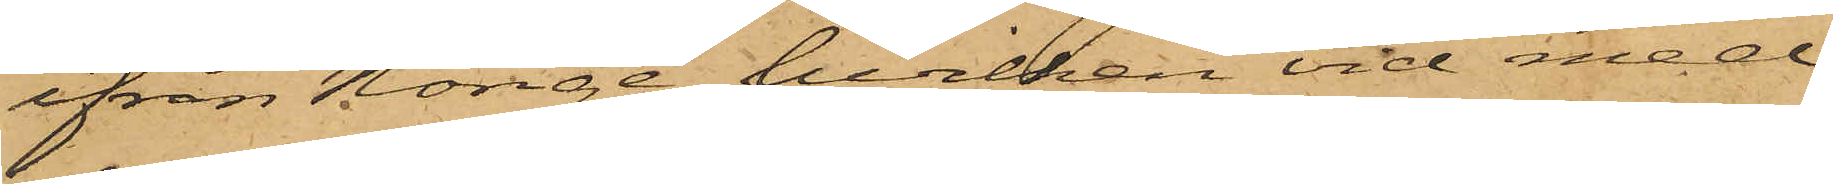ifrån Norige, hvilken vid med
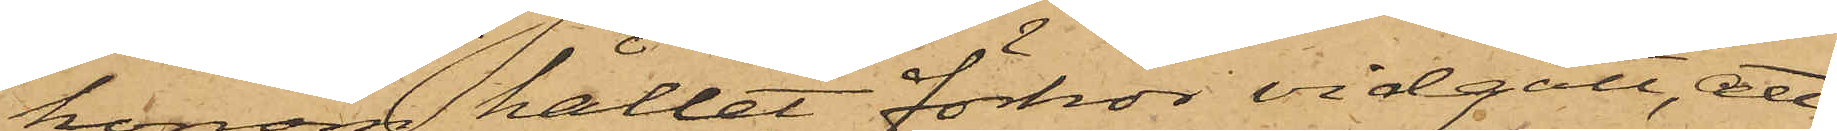honom hållet förhör vidgått, att,
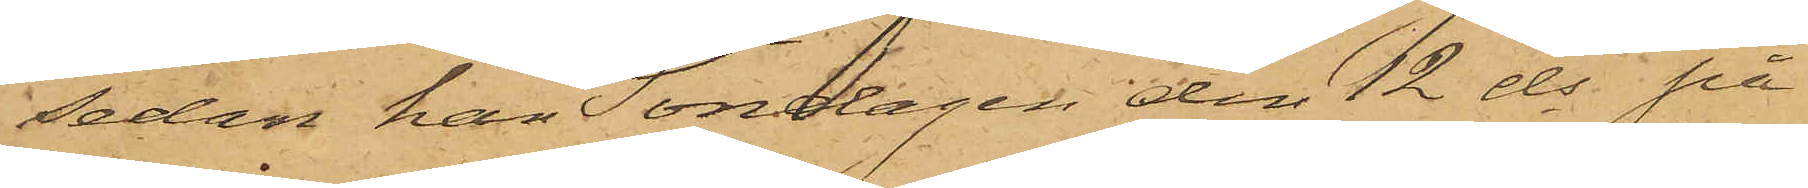sedan han Söndagen den 12 ds på
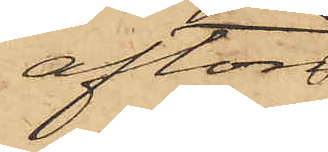afton
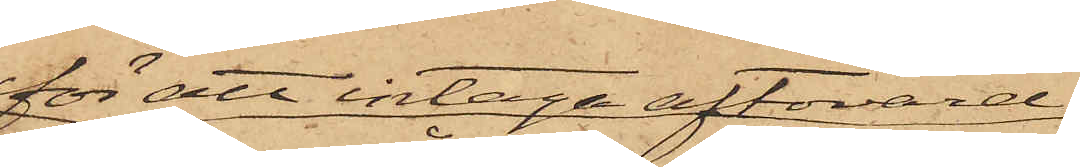för att intaga aftonvard
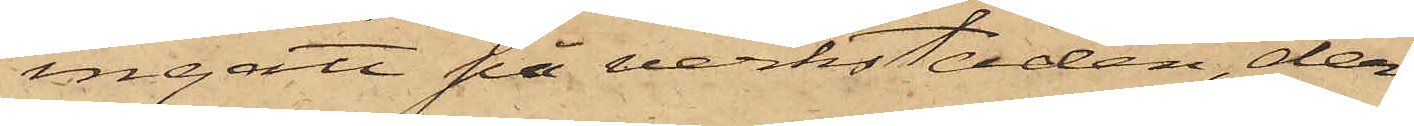ingått på verkstaden, der¬
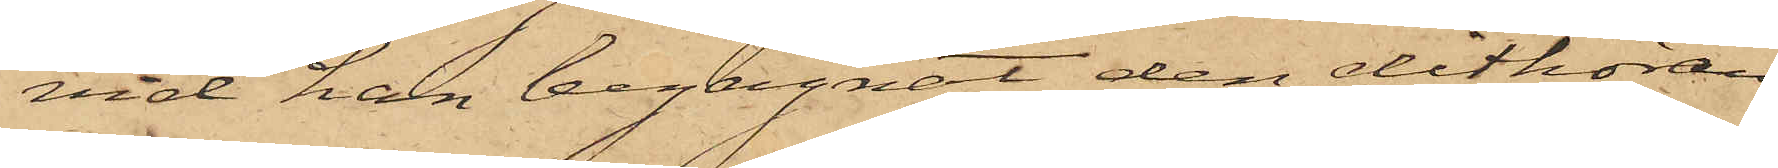vid han begagnat den dithöran¬
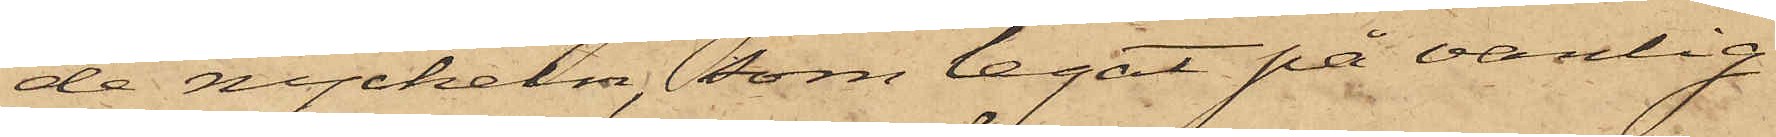de nyckeln, som legat på vanlig
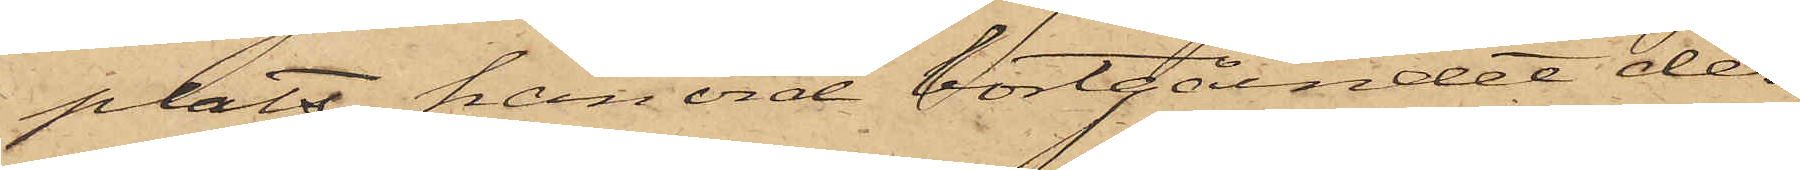plats, han vid bortgåendet der¬
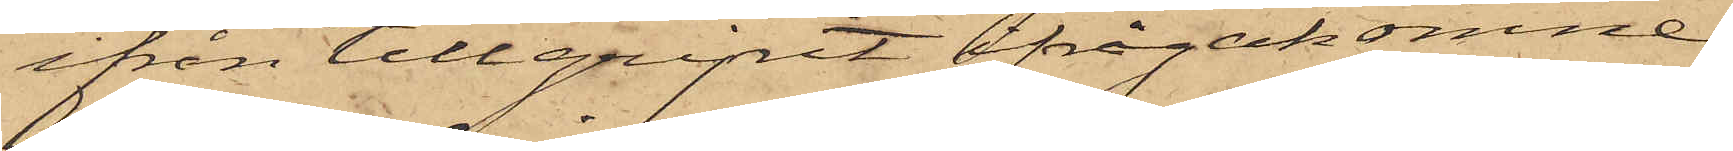ifrån tillgripit ifrågakomne
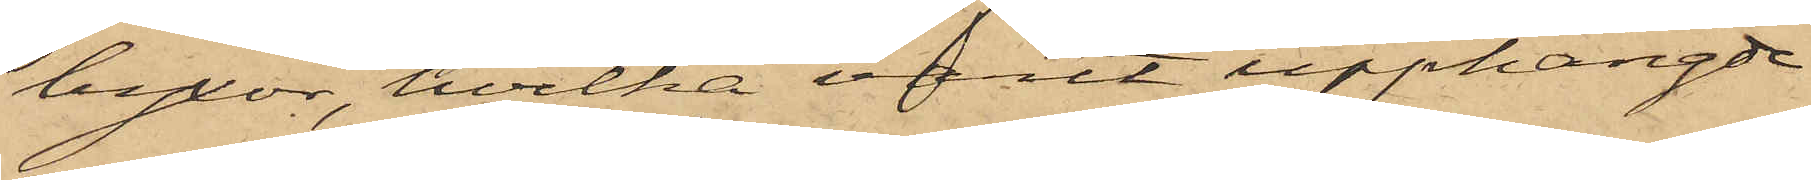byxor, hvilka varit upphängde
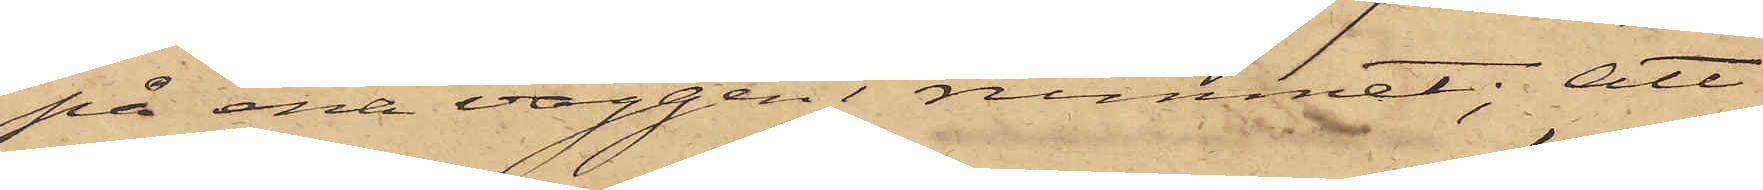på ena väggen i rummet; att
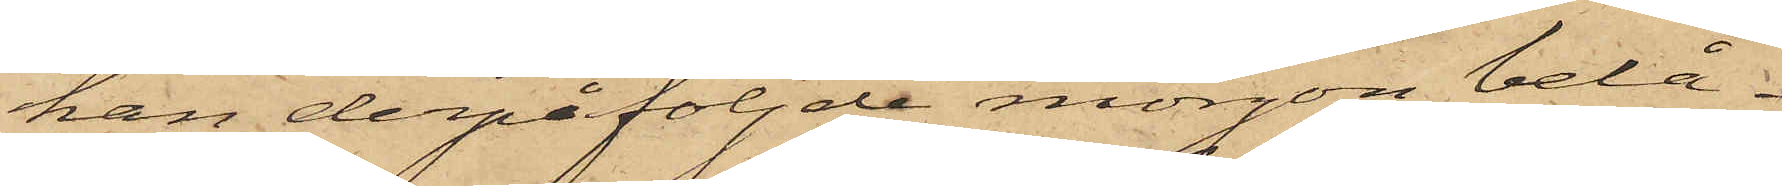han derpåföljde morgon belå¬
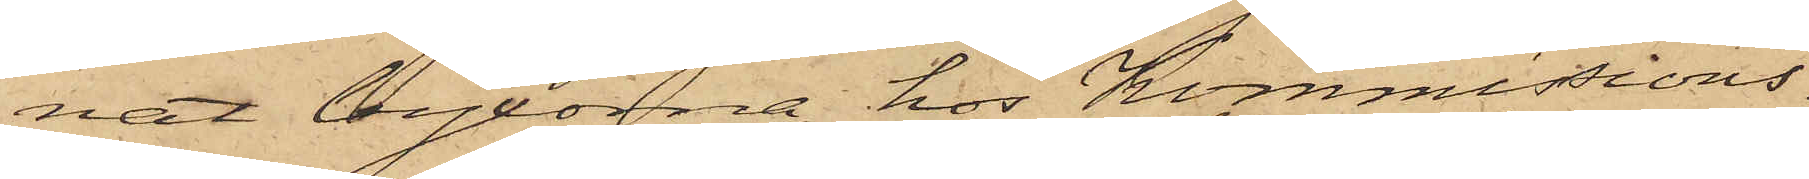nat byxorna hos Kommissions¬
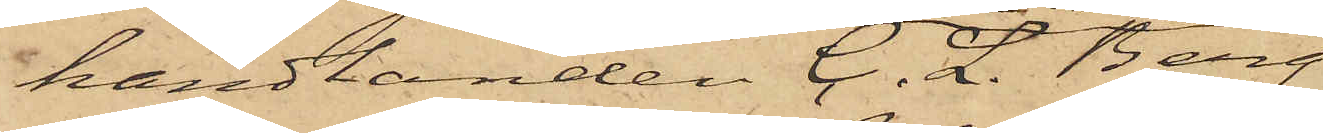handlanden C. L. Berg
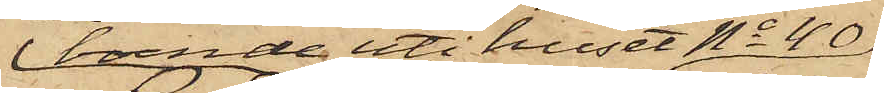boende uti huset No 40
